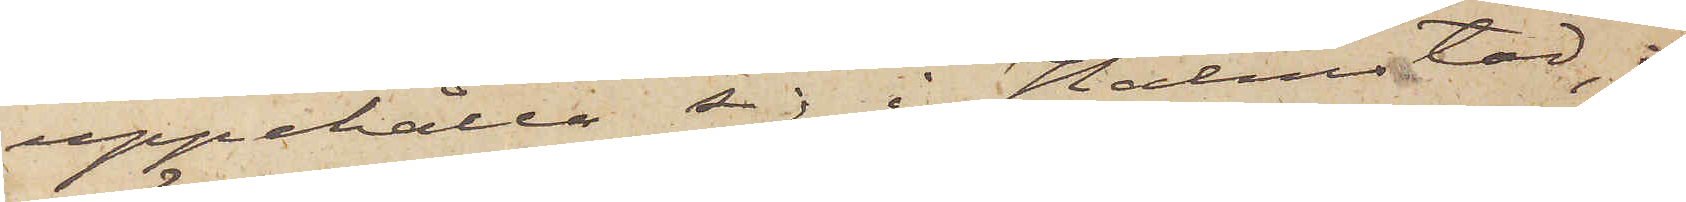uppehålla sig i Halmstad, i
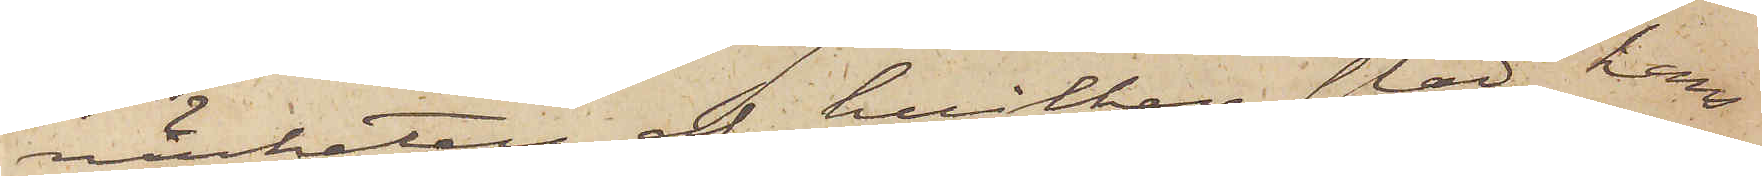närheten af hvilken stad hans
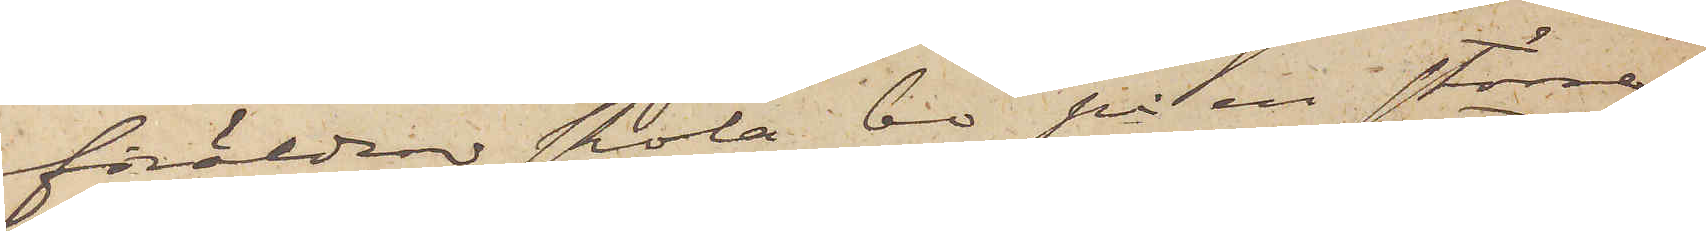föräldrar skola bo på en större
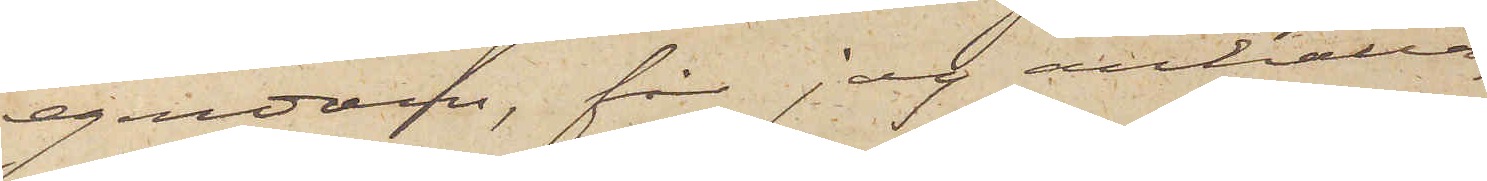egendom, får jag anhålla,
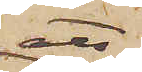att
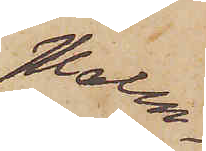Malm¬
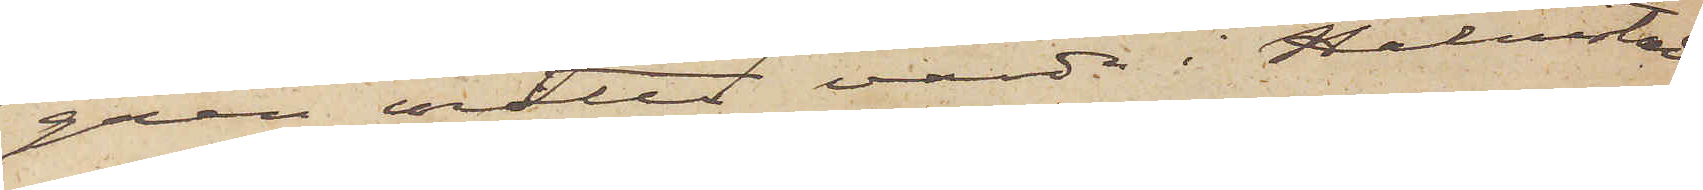gren måtte varda i Halmstad
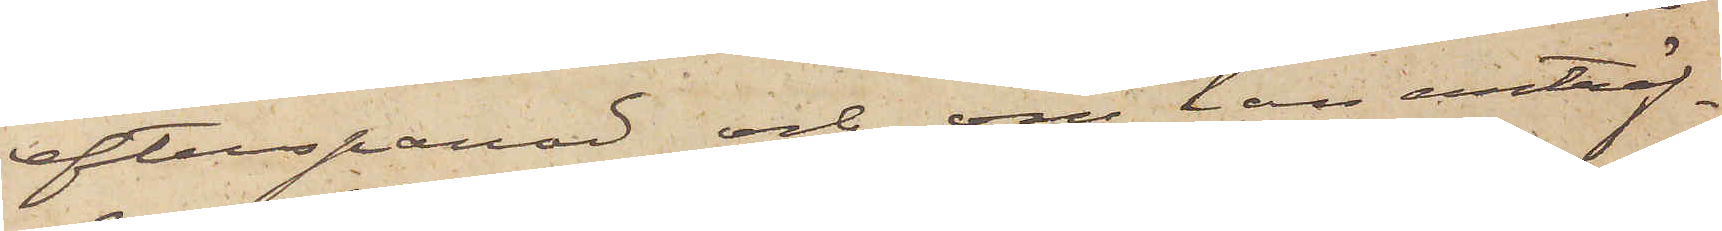efterspanad och, om han anträf¬
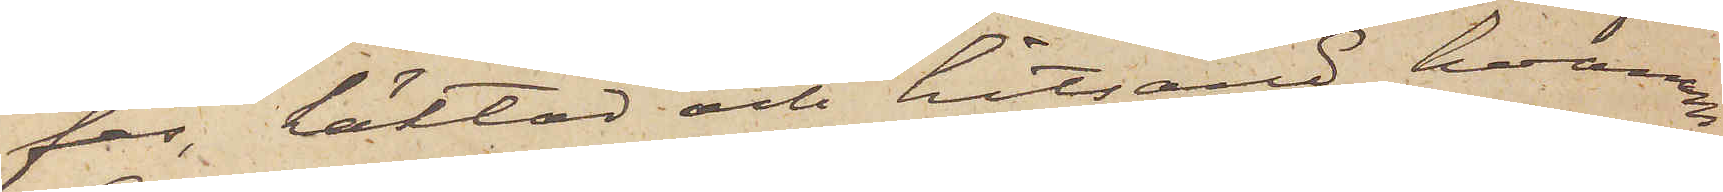fas, häktad och hitsänd, hvarom
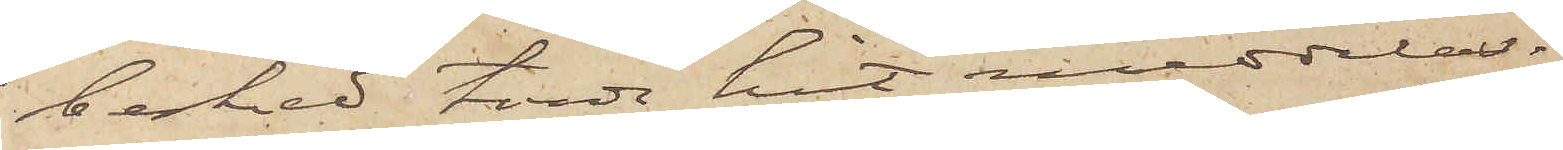besked torde hit meddelas.
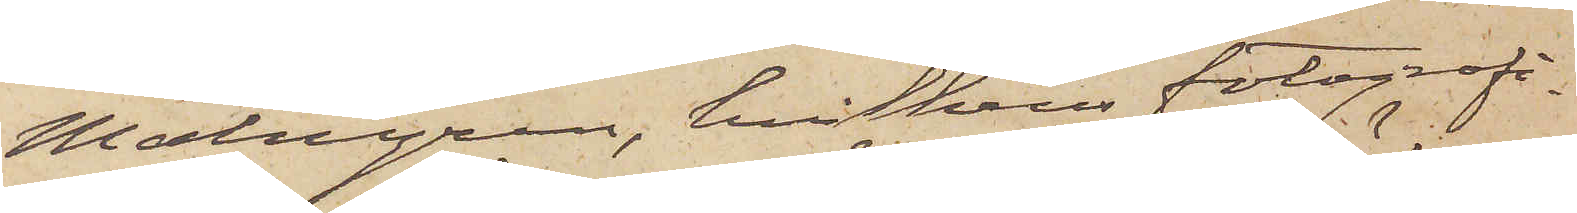Malmgren, hvilkens fotografi¬
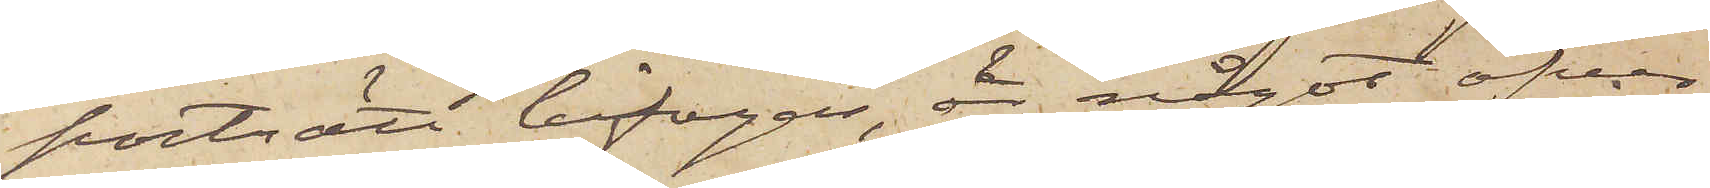porträtt bifogas, är något öfver
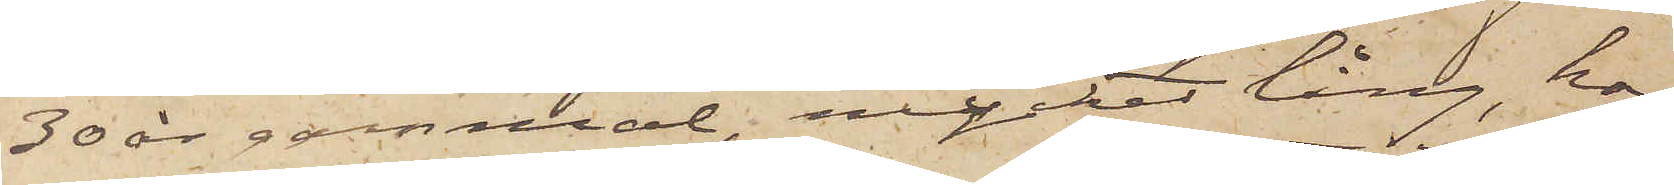30 år gammal, mycket lång, har
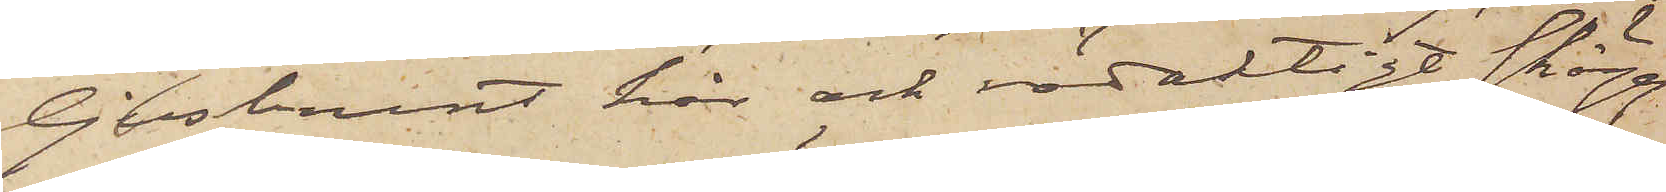ljusbrunt hår och rödaktigt skägg
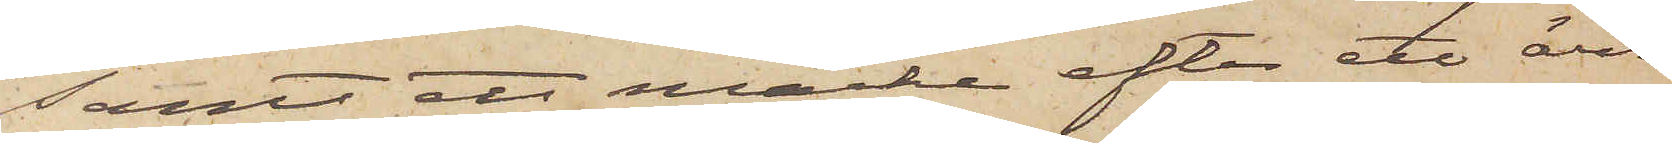samt ett märke efter ett ärr
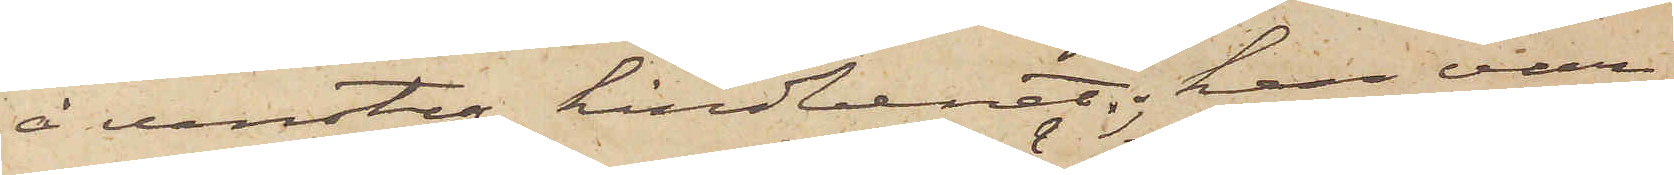å venstra kindbenet; han var
